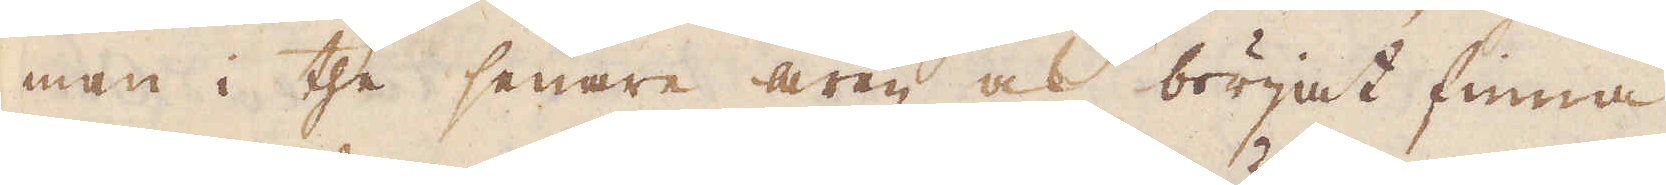man i the senare åren ock börjat finna
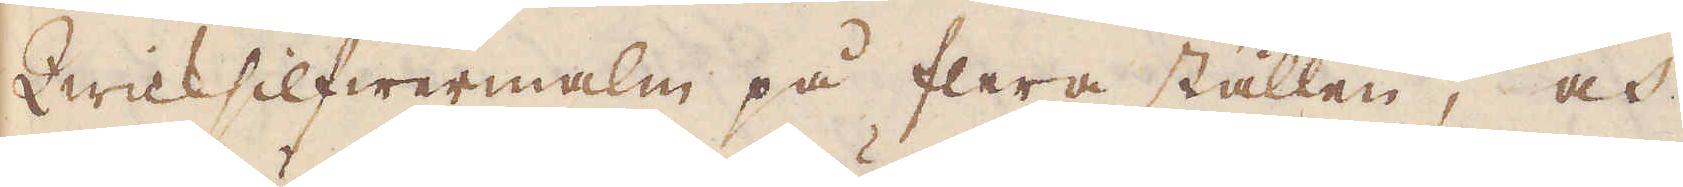Qwicksilfwermalm på flera ställen, och
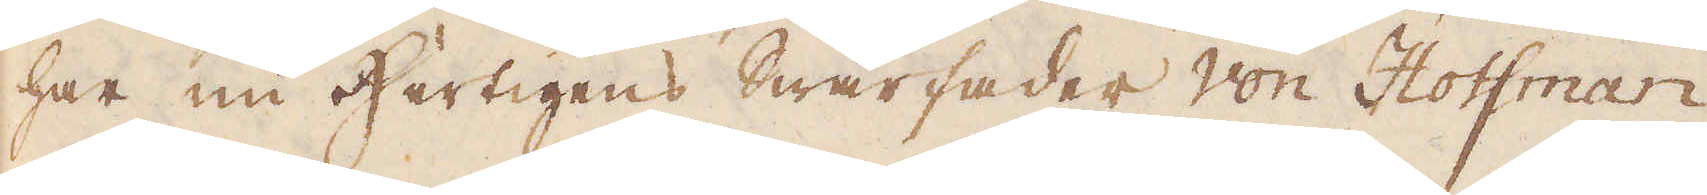har nu Hertigens Swärfader Von Hoffman
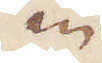en
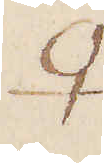♀
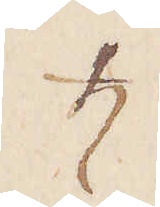♄
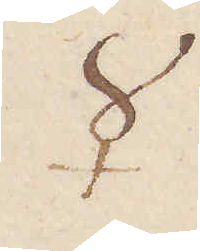☿
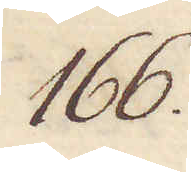166.
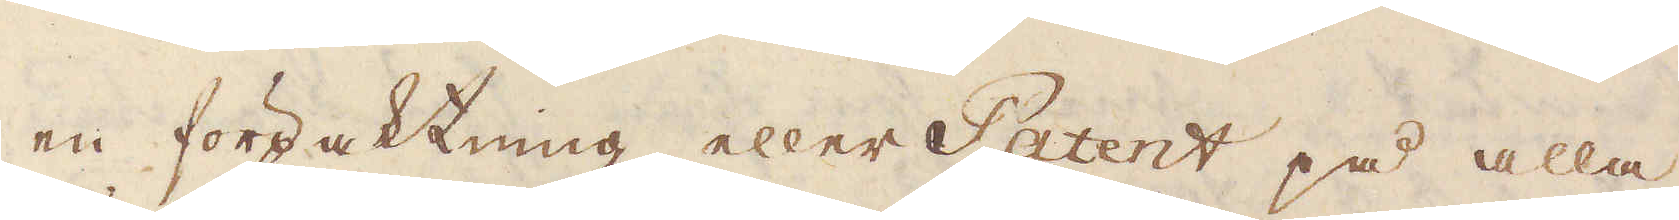en förpaktning eller Patent på alla
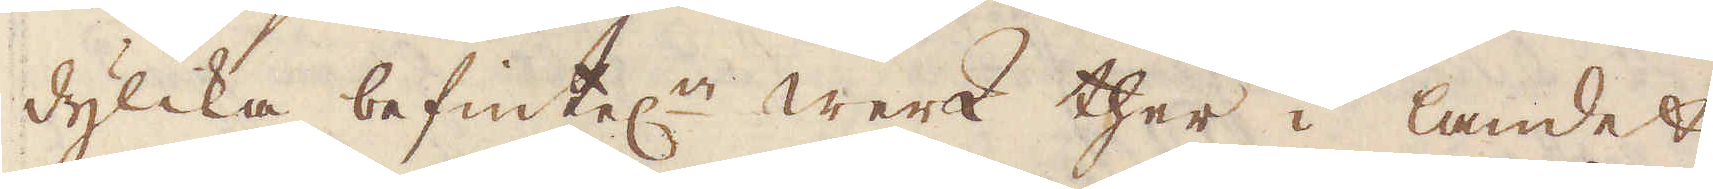dylika befintel:e Werk ther i landet,
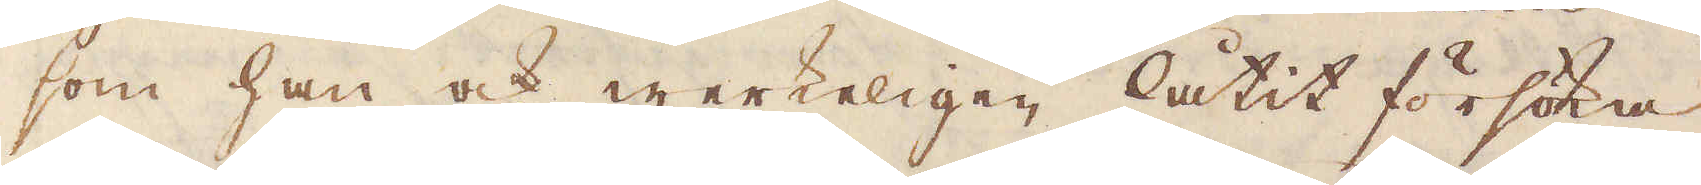som han ock werkeligen låtit försöka
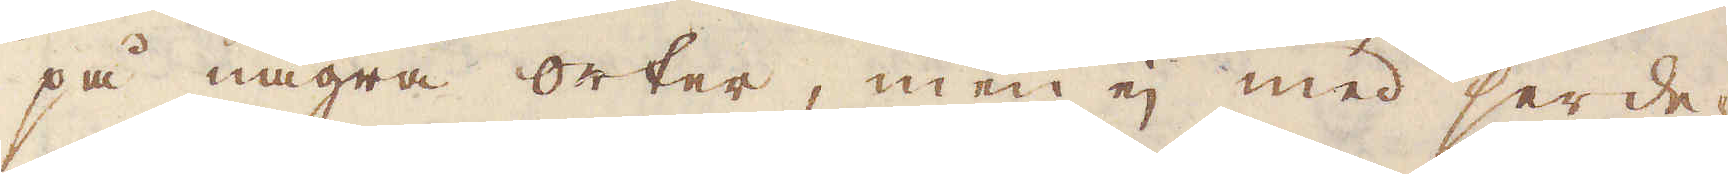på några orter, men ej med serde-
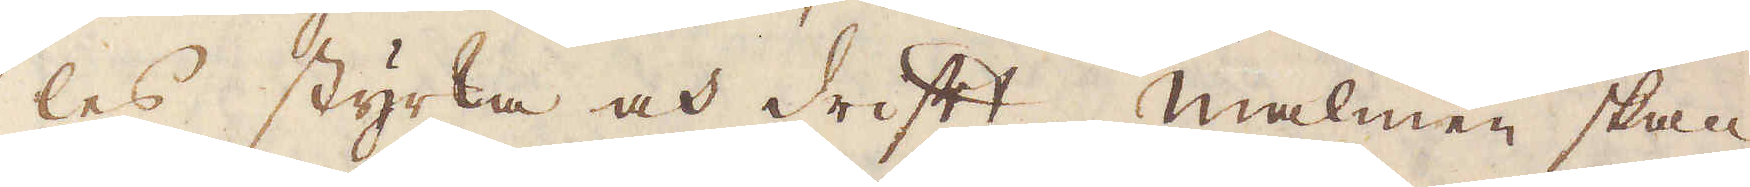les styrka och drift. Malmen skall
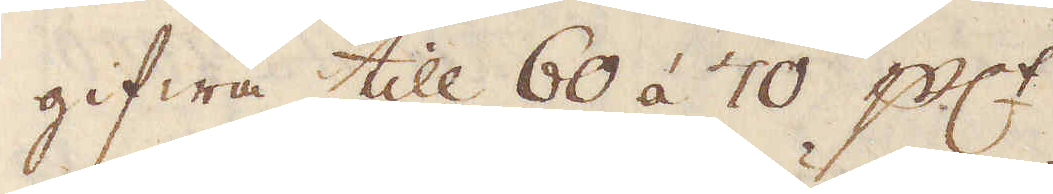gifwa till 60 á 70 p:ct.
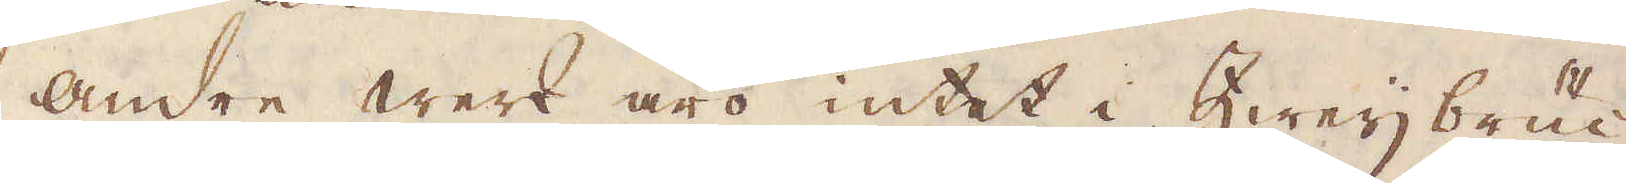Andre werk äro intet i Zweijbruc-
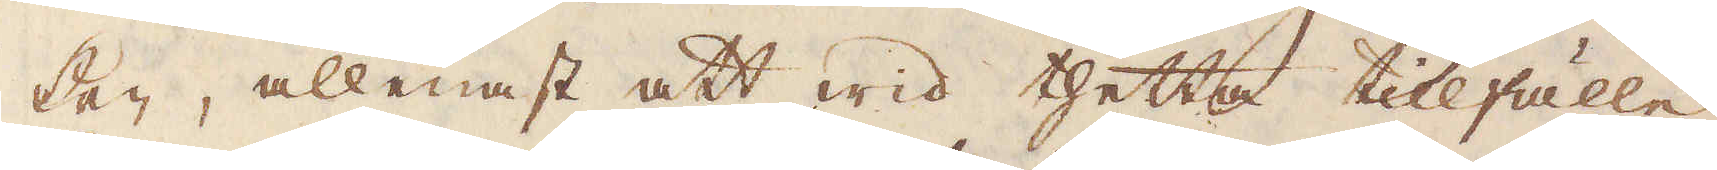ken, allenast att wid thetta tillfälle
